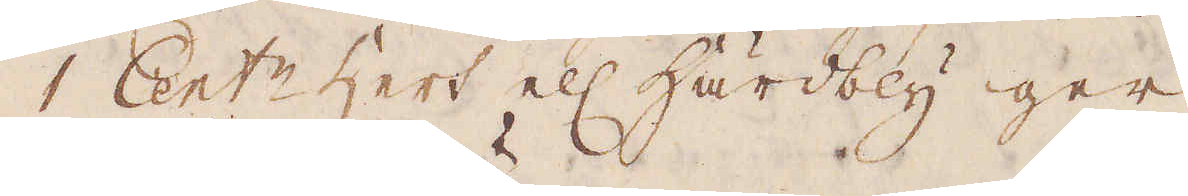1 Cent:r hert el: Härdbly ger
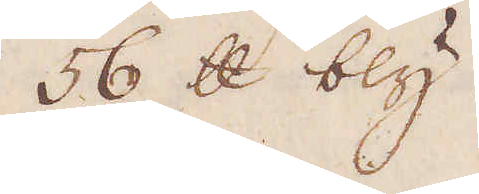56 skålpund bly.
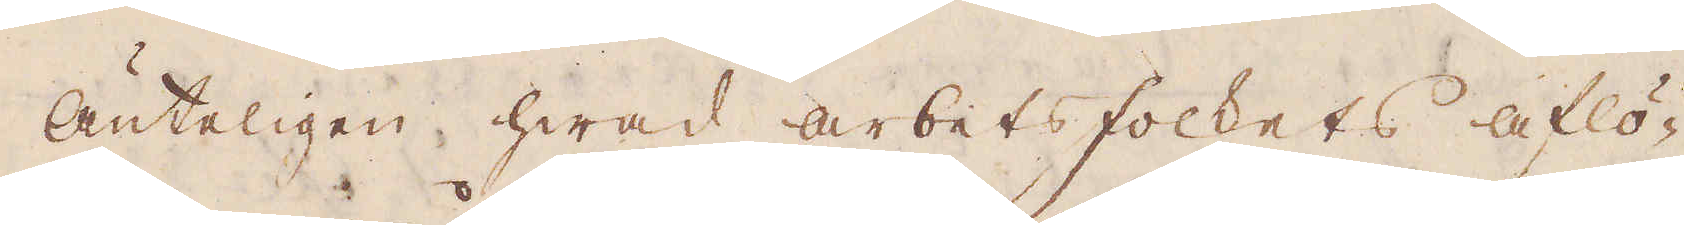Änteligen hwad arbetsfolkets aflö-
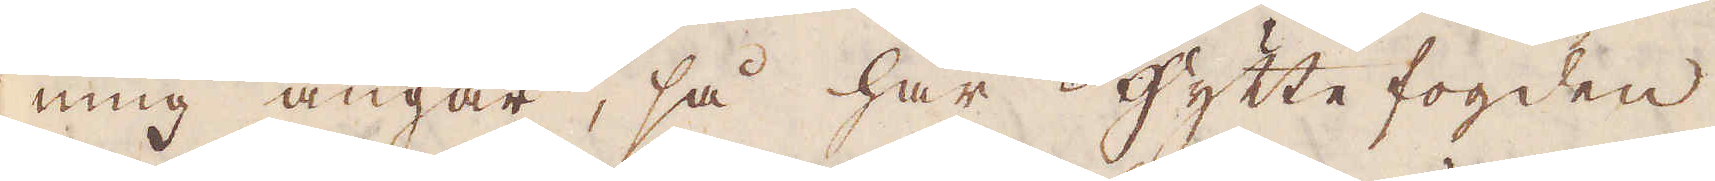ning angår, så har hytte fogden
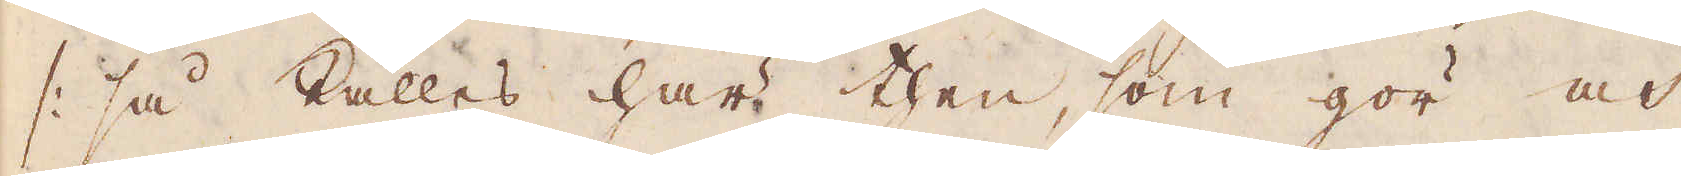/: så kallas här then, som gör och
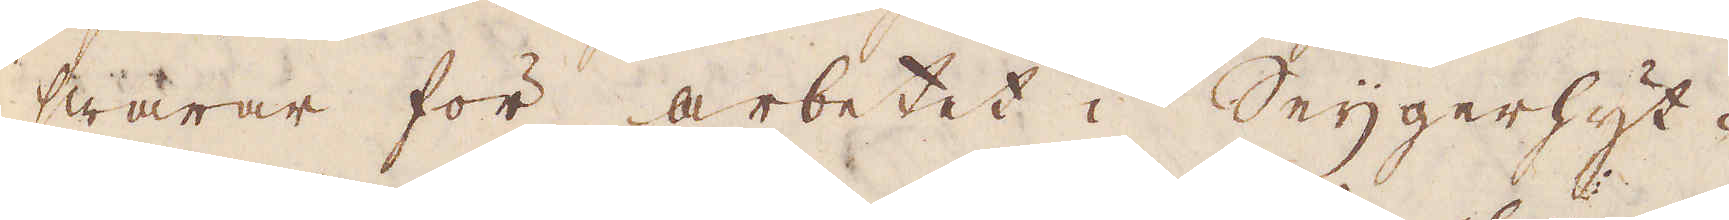swarar för arbetet i Seijgerhyt-
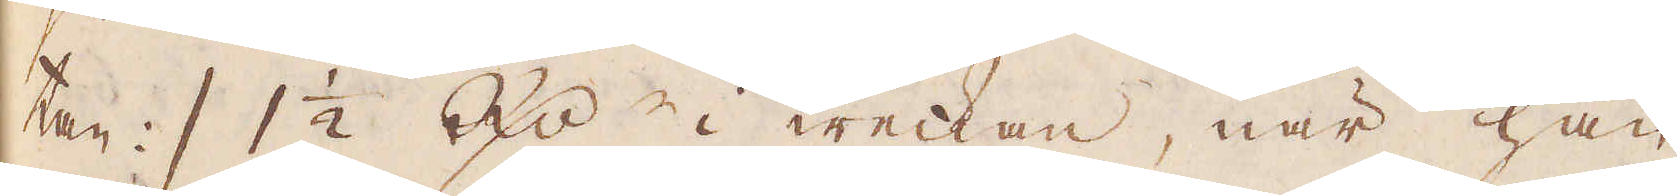tan :/ 1 1/2 R:dr i weckan, när han
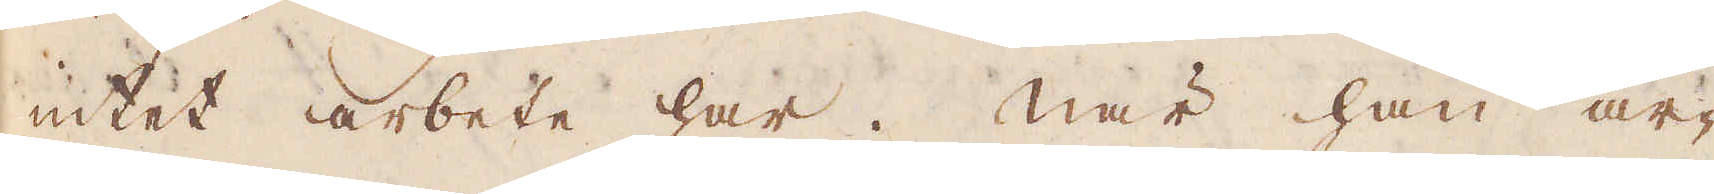intet arbete har. När han ar-
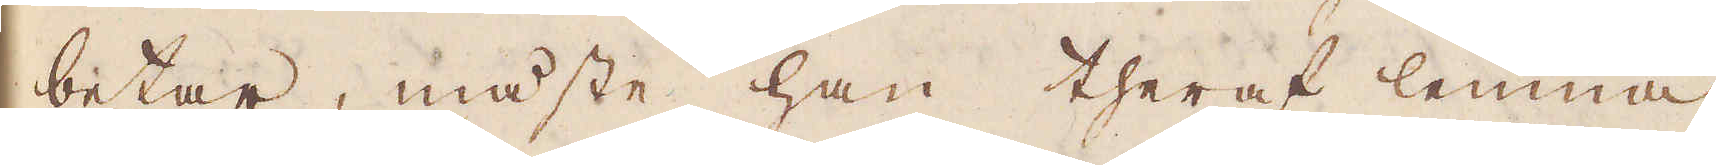betar, måste han theraf lemna
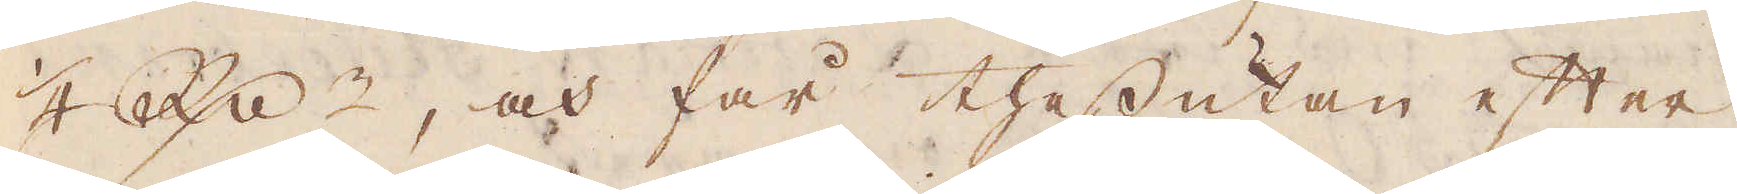1/4 Rd:r, och får thessutan efter
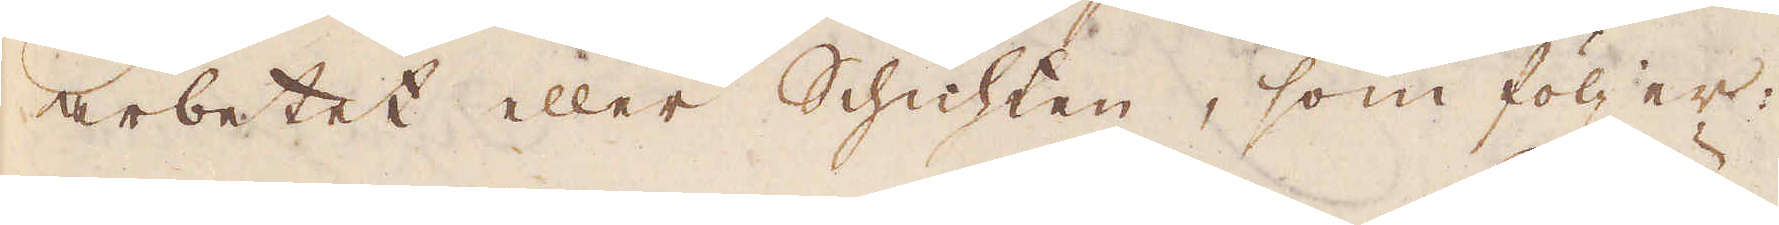arbetet eller Schichten, som följer:
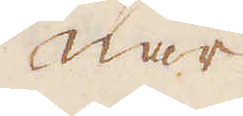När
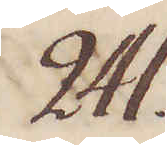241.
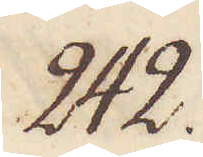242.
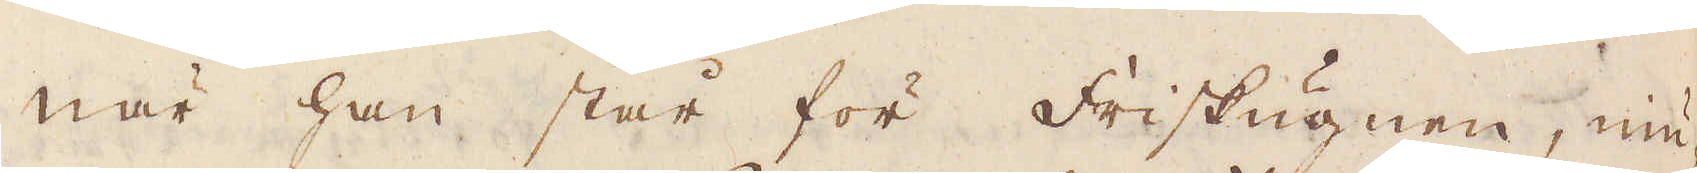När han står för Friskugnen, niu-
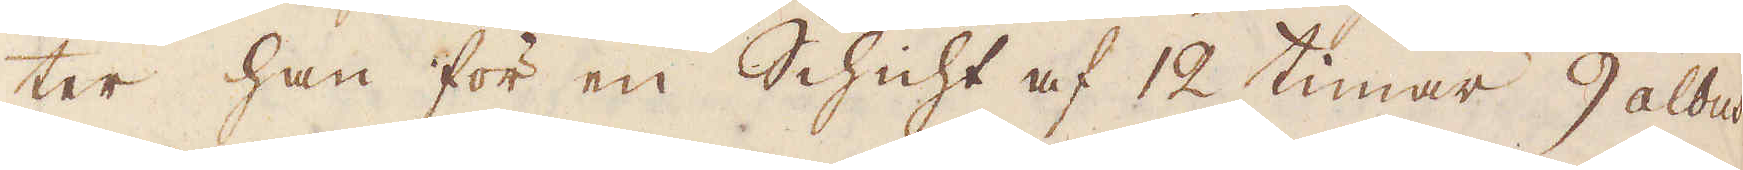ter han för en Schicht af 12 timar, 9 albus
